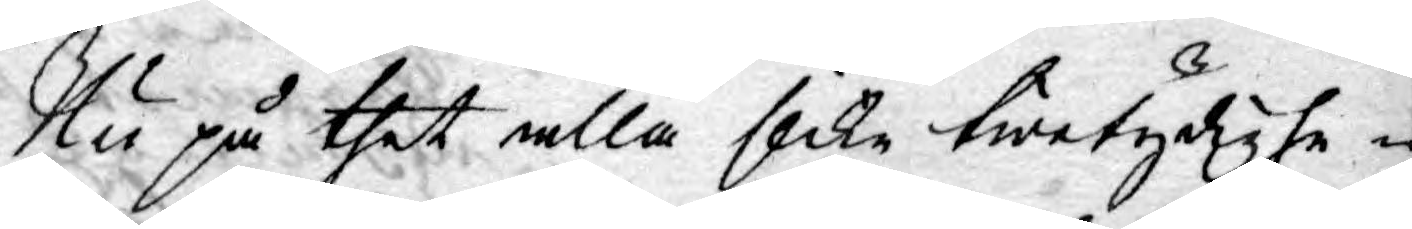Nu på thet alla slike twetydighe¬
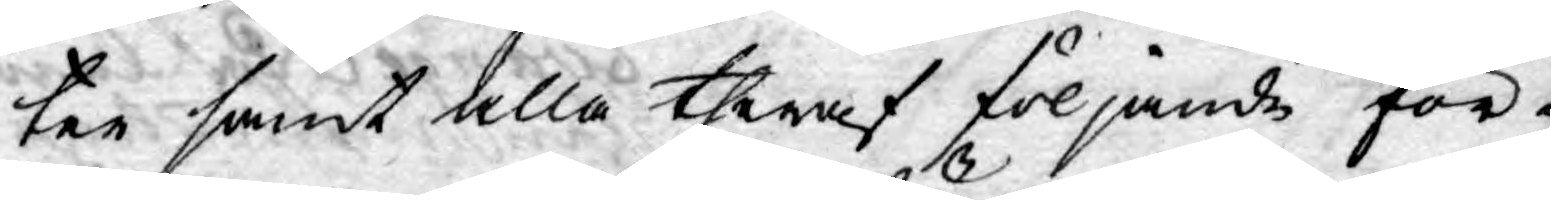ter samt alla theraf följande för¬
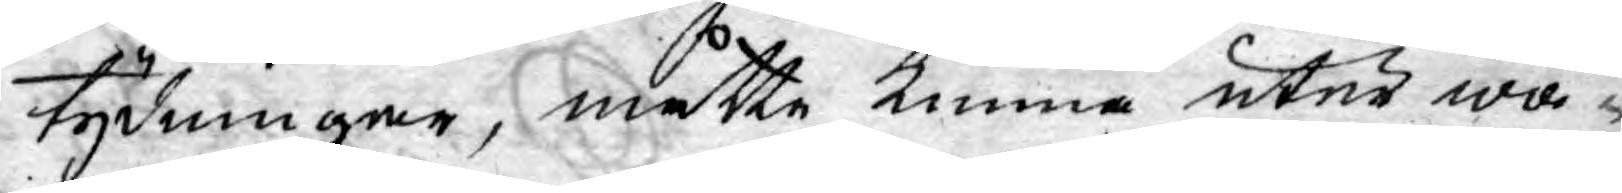tydningar, måtte kunna utur wä¬
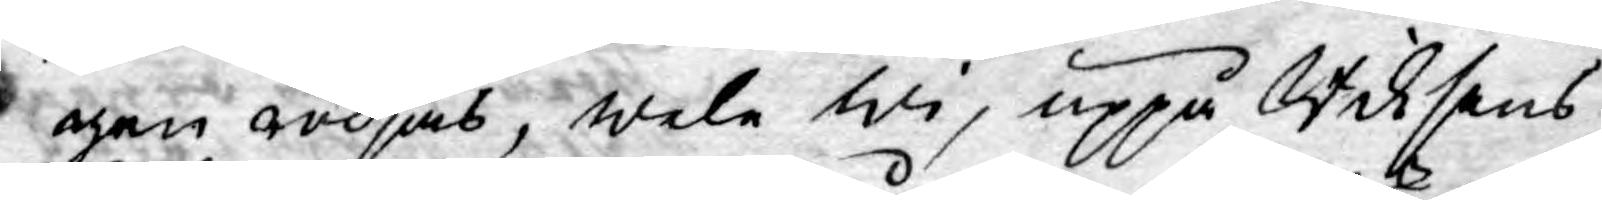gen rödjas, wele wi, uppå Riksens
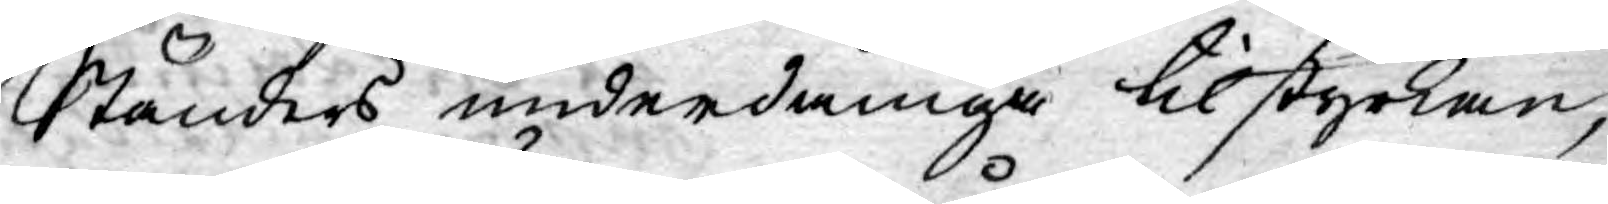Ständers underdåniga tilstyrkan,
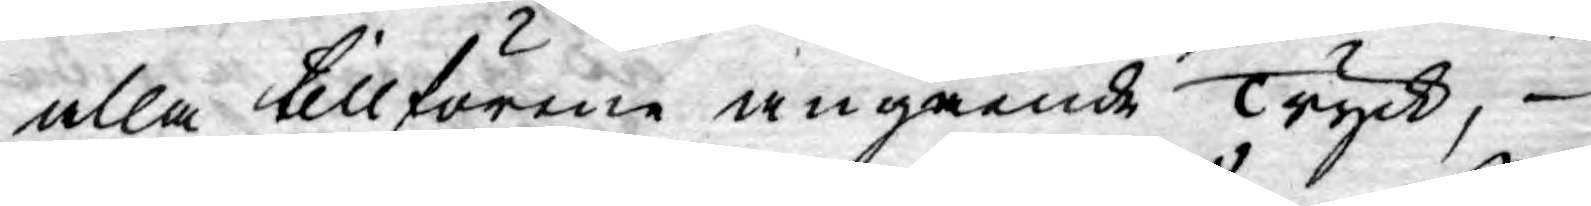alla tillförene angående Tryck,
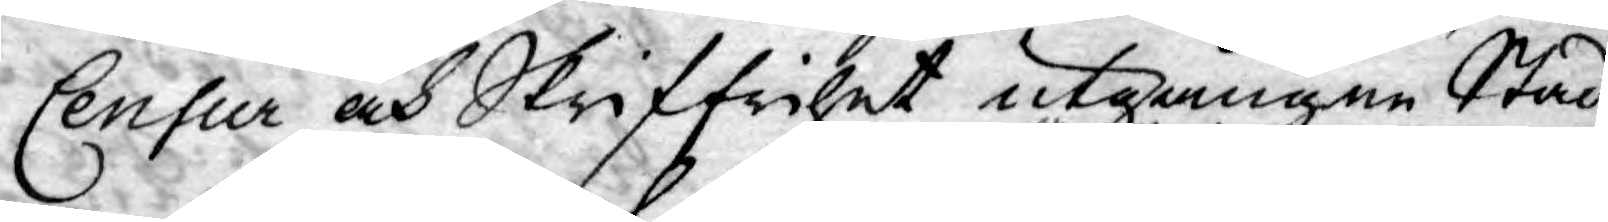Censur och Skriffrihet utgångne Stad¬
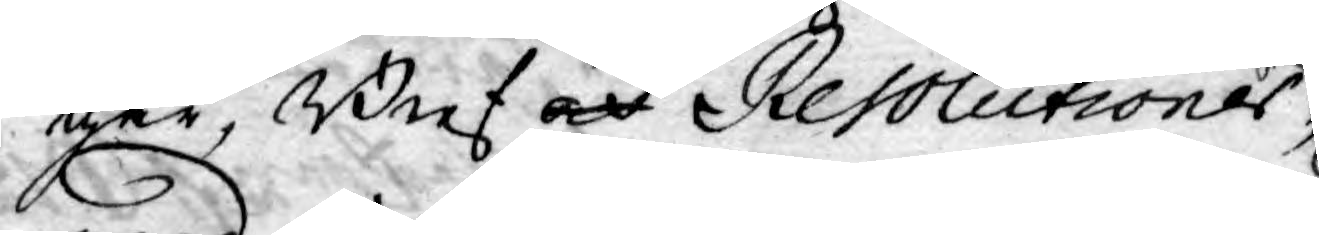gar, Bref och Resolutioner
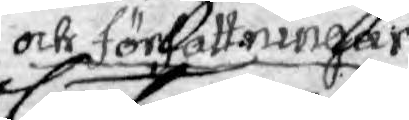och Forfattningar
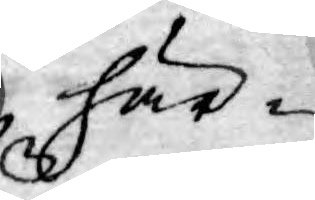här¬
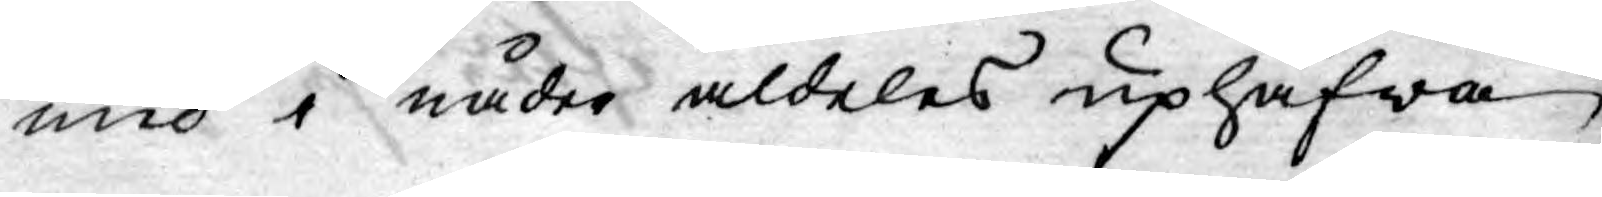med i nåder aldeles uphäfwa
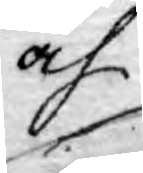och
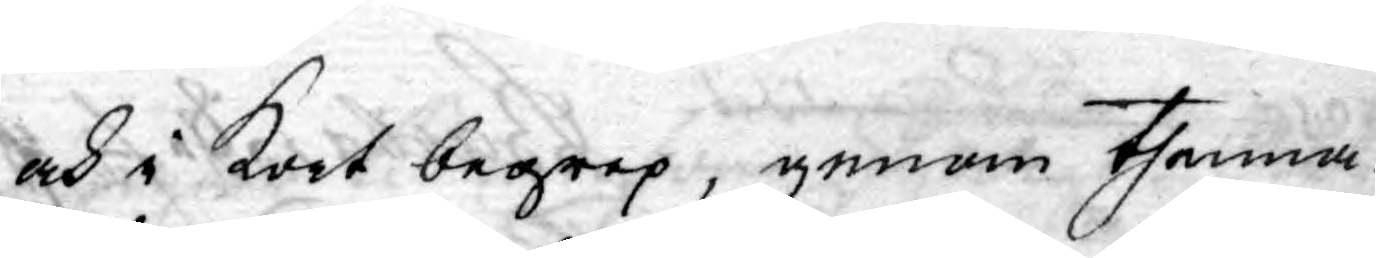och i Kort begrep, genom thenna
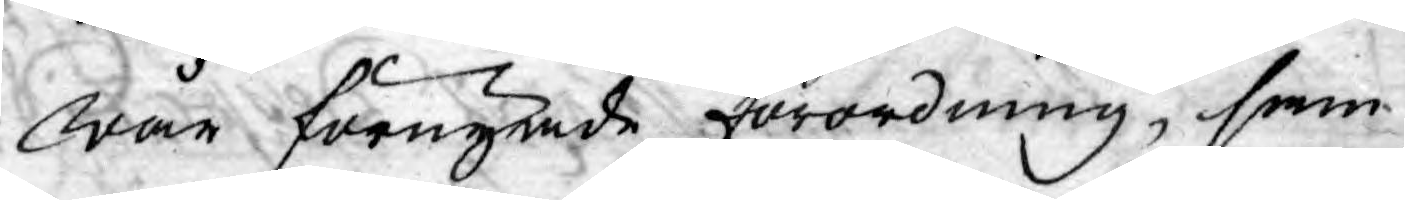wår förnyade förordning, sam¬
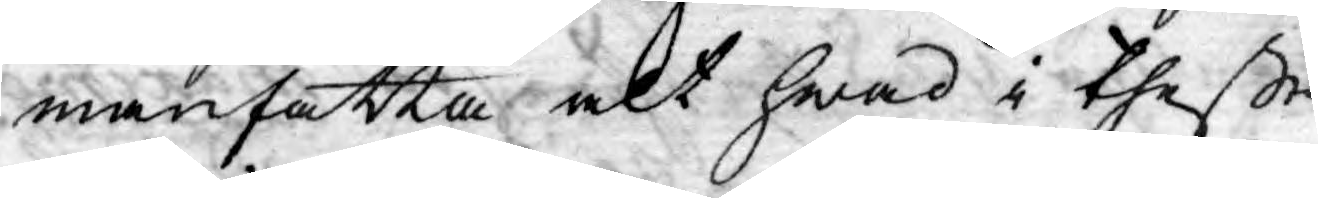manfatta alt hwad i theße
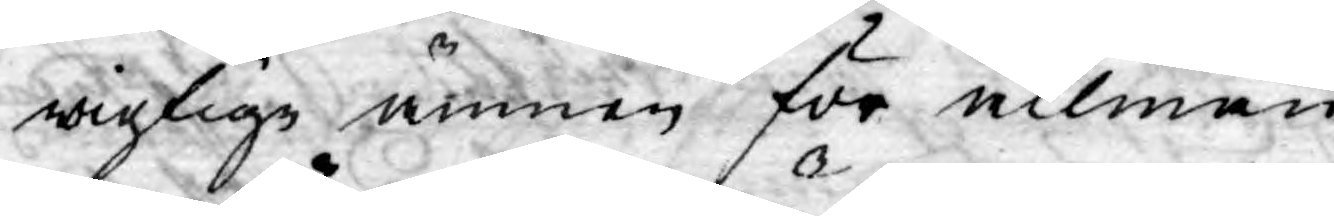wigtige ämnen för allmän
